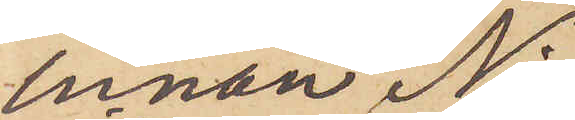innan Ni
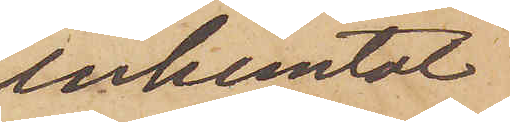inhemtat
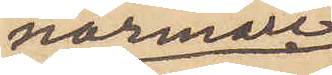närmare
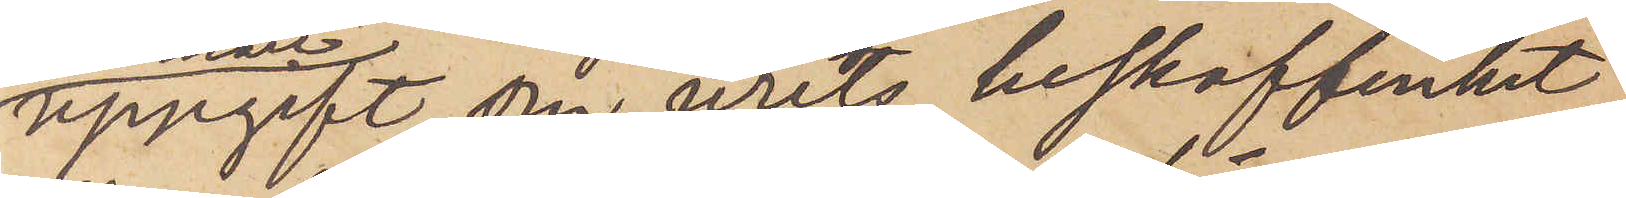uppgift om urets beskaffenhet.
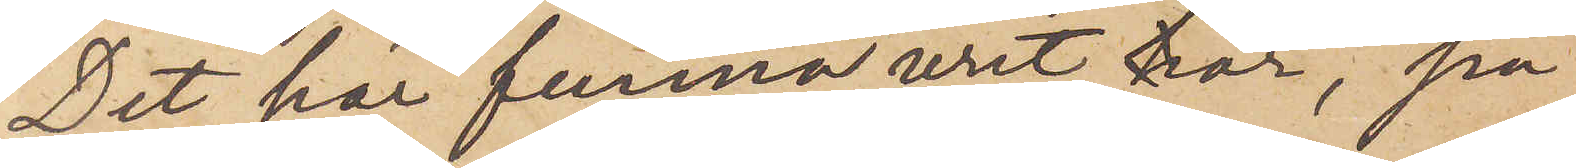Det här funna uret är, på
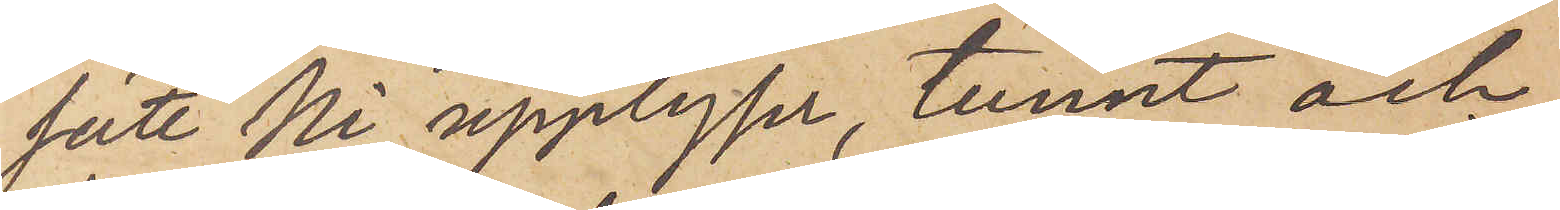sätt Ni upplyser, tunnt och
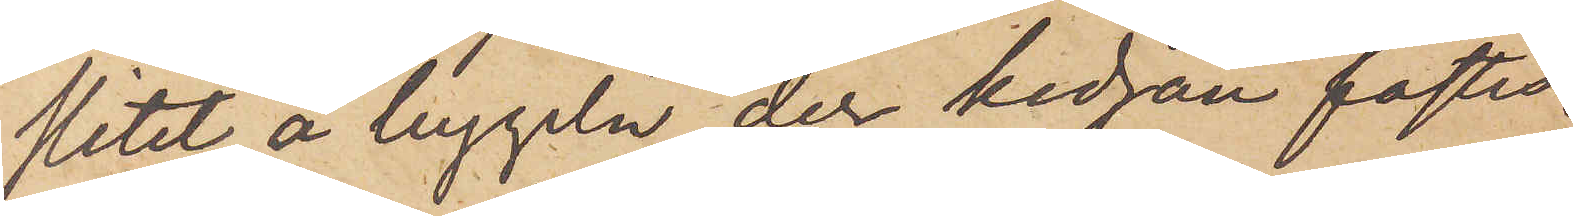slitet å bygeln, der kedjan fästes.
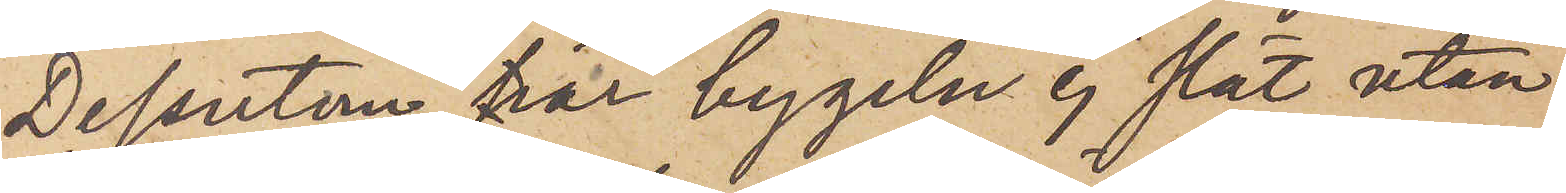Dessutom är bygeln ej slät utan
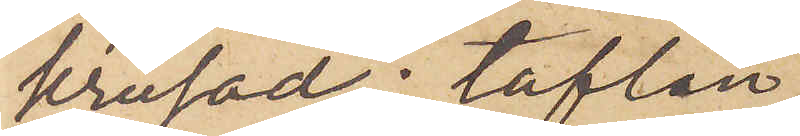krusad; taflan
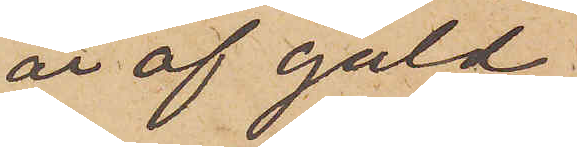är af guld
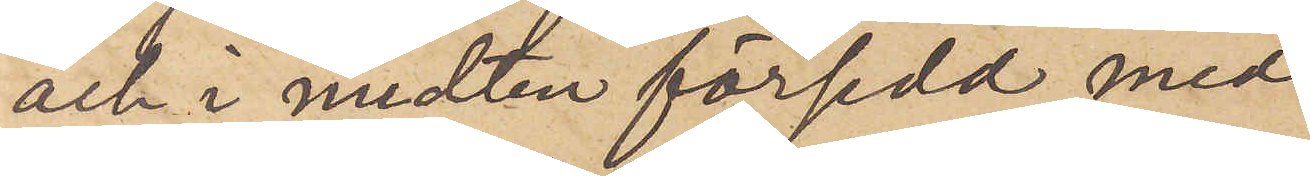och i midten försedd med
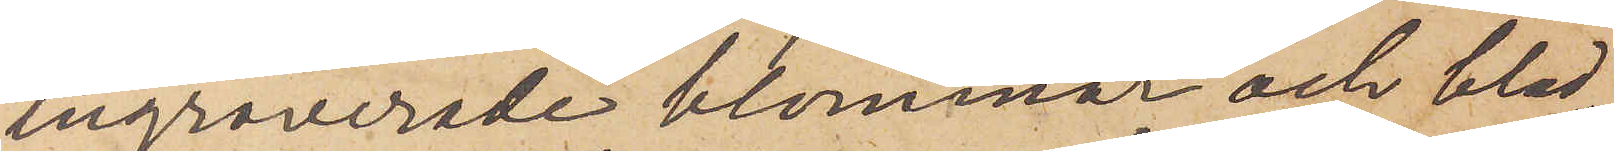ingraverade blommor och blad,
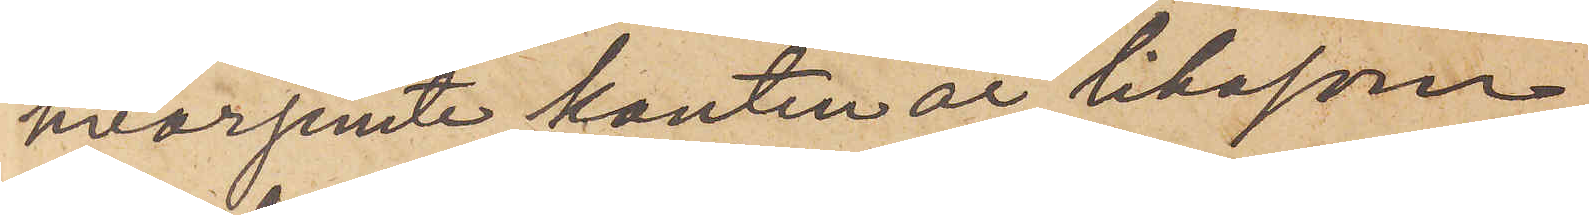hvarjemte kanten är likasom
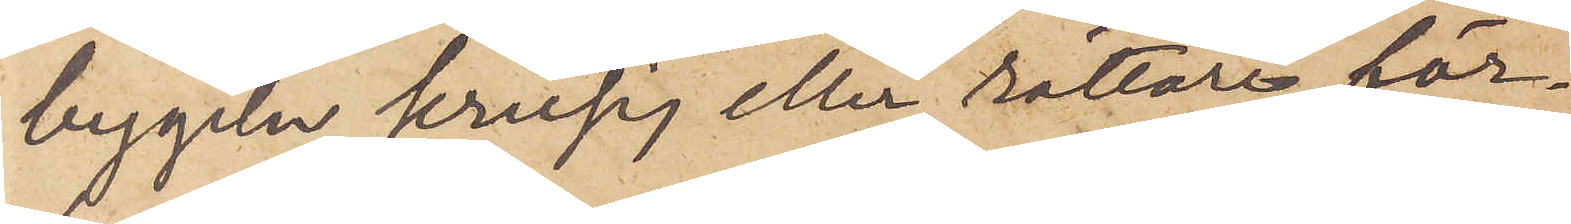bygeln krusig eller rättare för¬
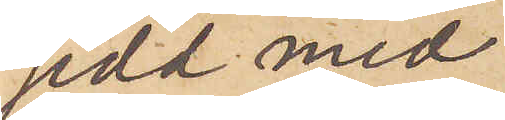sedd med
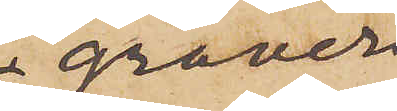graver¬
